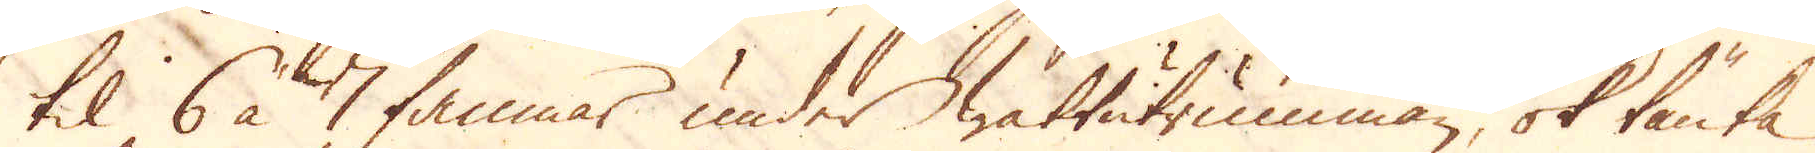til 6 à 7 famnar under wattutrumman, ok tänka
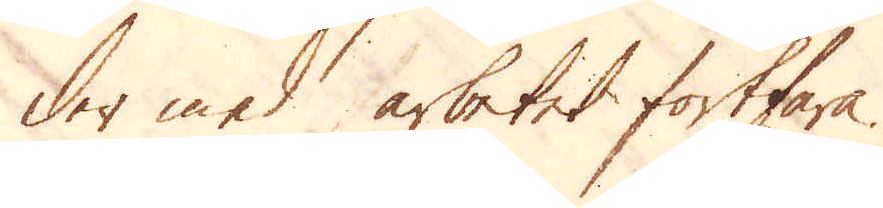der med arbetet fortfara.
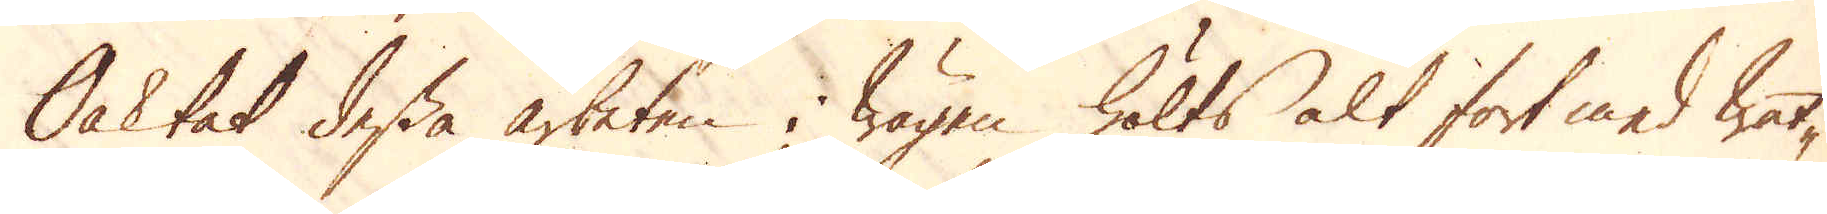Oaktat dessa arbeten i wägen hölts alt fort med wat-
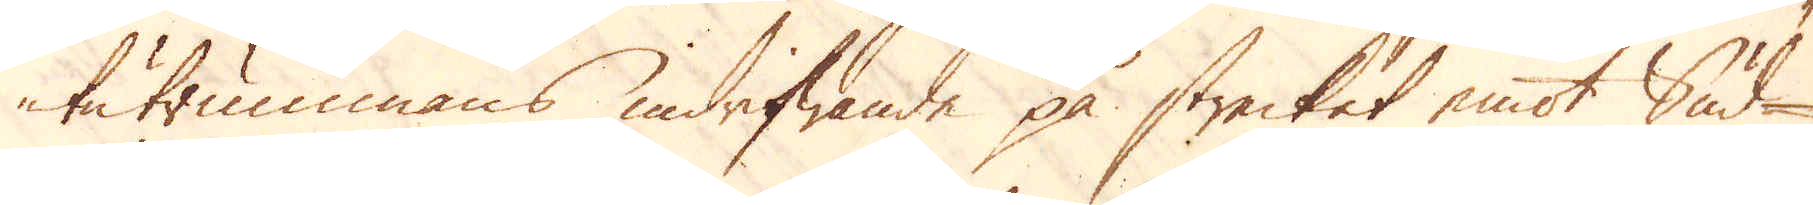tutrummans indrifwande på strecket emot Sud-
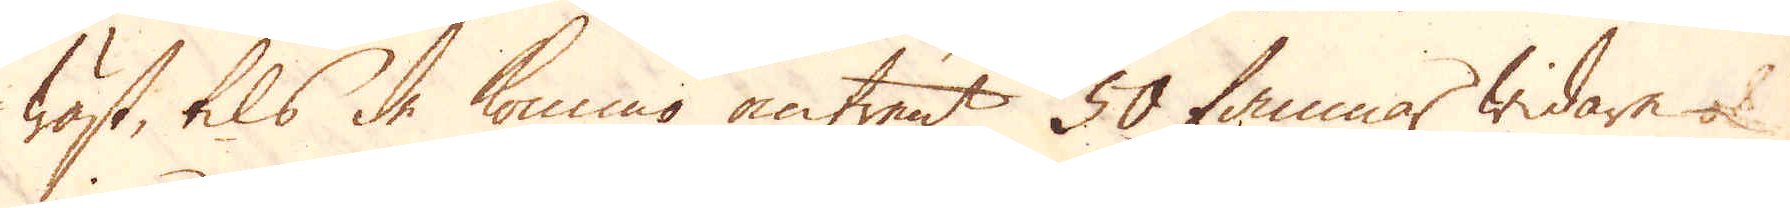wäst, tils de kommo omtrent 50 famnar widare ok
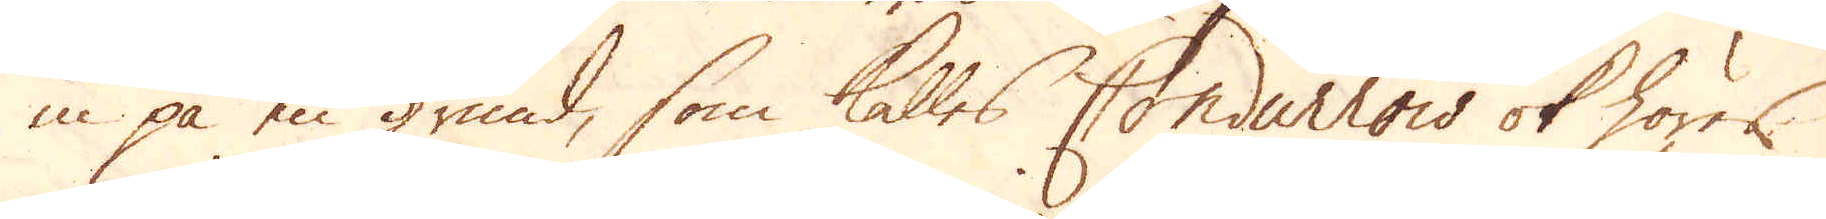in på en grund, som kalles Condurrow ok hörer
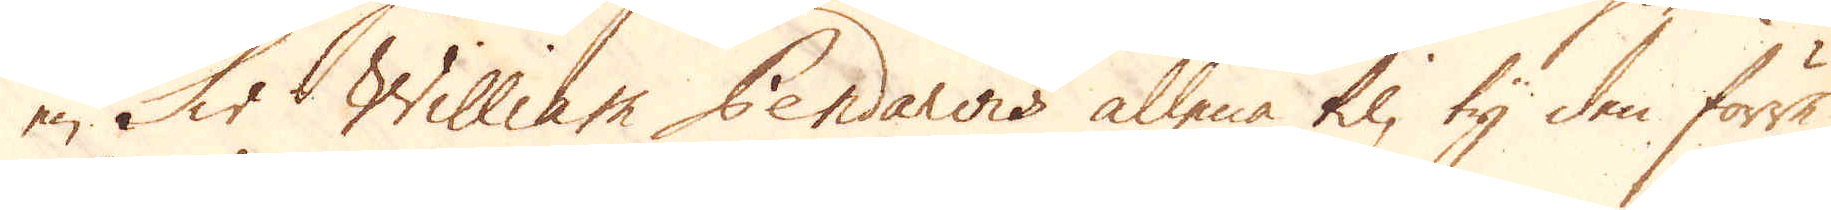en Sir William Pendawis allena til, ty den förre
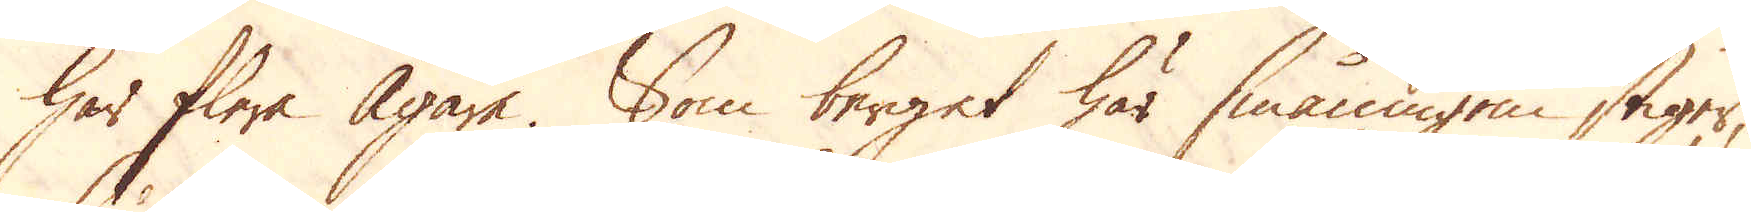har flere Ägare. Som berget här småningen stiger,
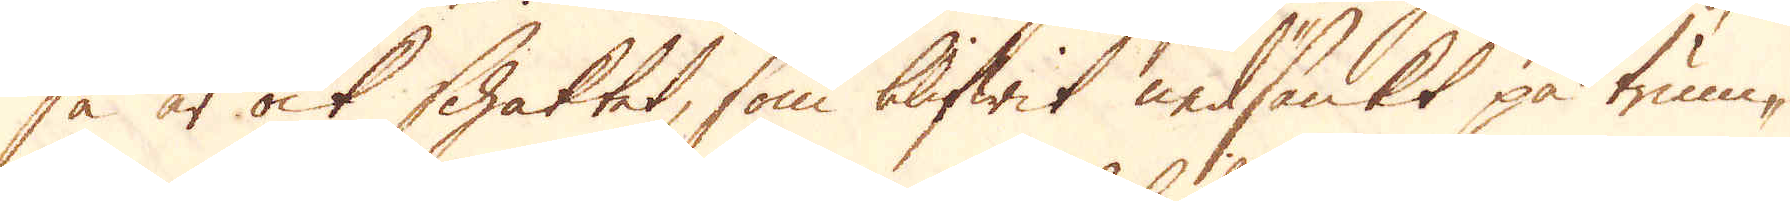så är ock schaktet, som blifwit nedsänkt på trum-
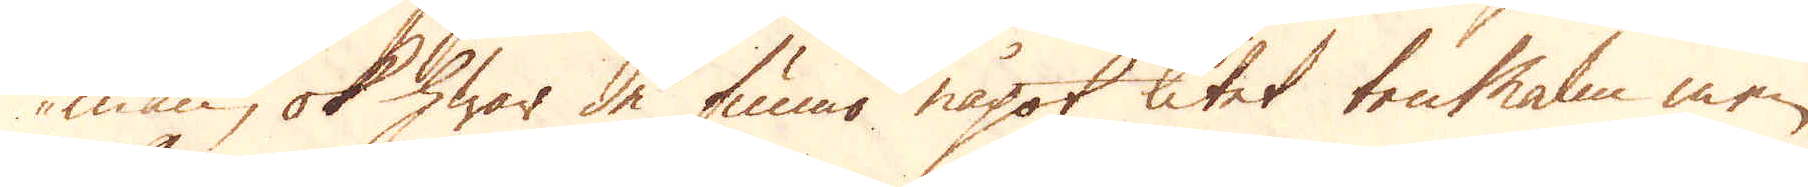man, ok hwar de funno något litet tenMalm men
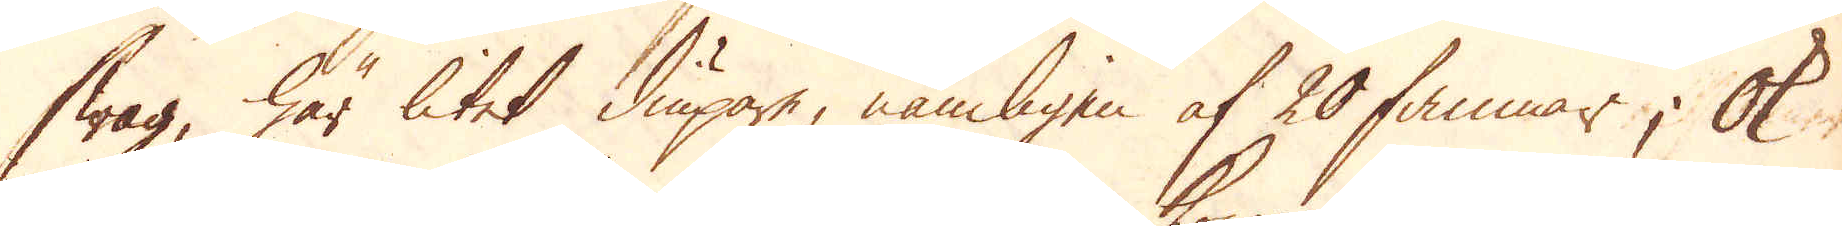swag, här litet diupare, nämligen af 20 famnar; Ok
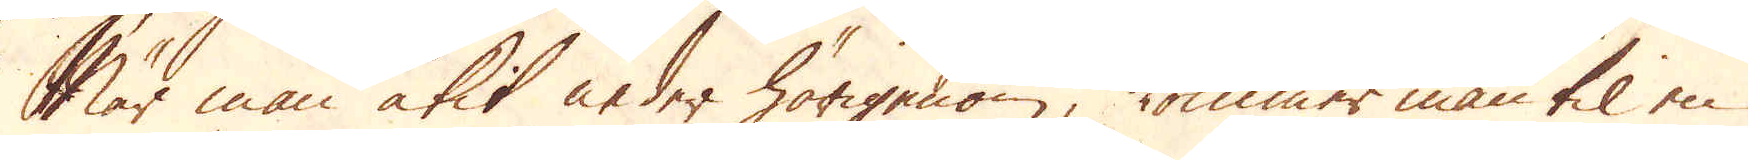När man åkit neder härigenom, kommer man til en
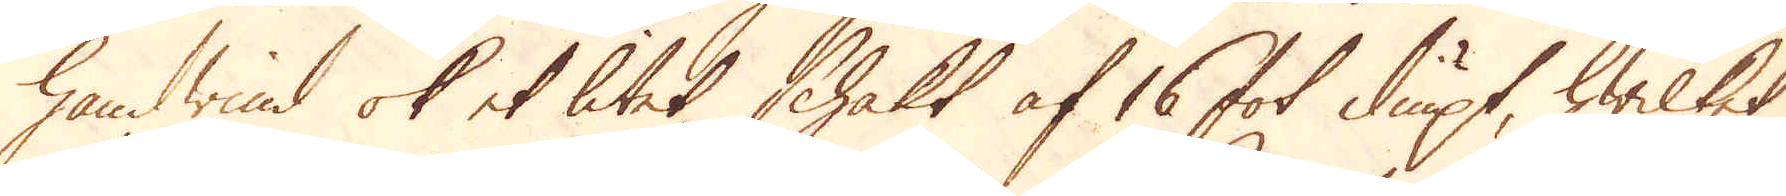handwind ok et litet schakt af 16 fot diupt, hwilket
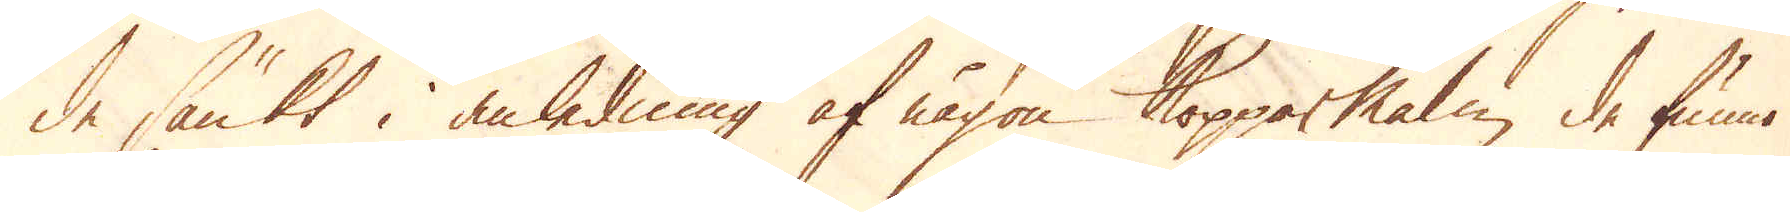de sänkt i anledning af någon Kopparmalm de funno
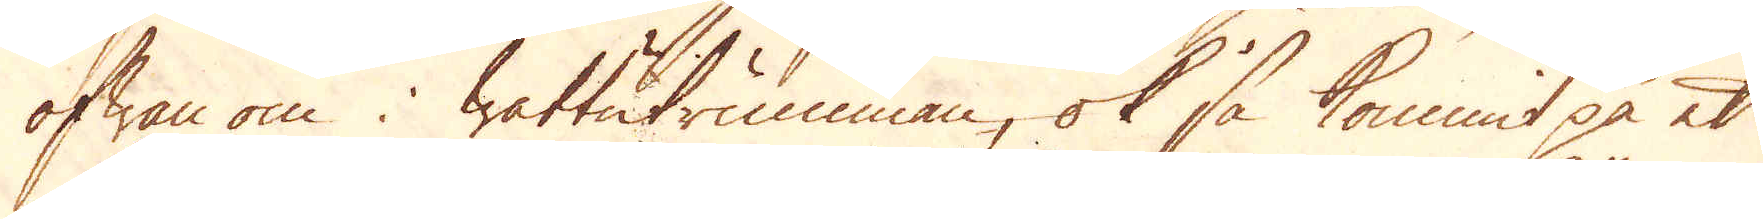ofwan om i wattutrumman, ok så kommit på et
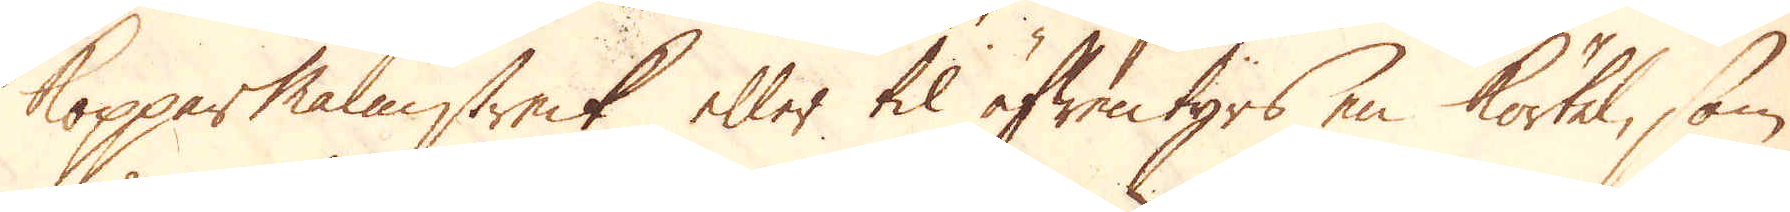Kopparmalmstreck eller til äfwentyrs en körtel, som
